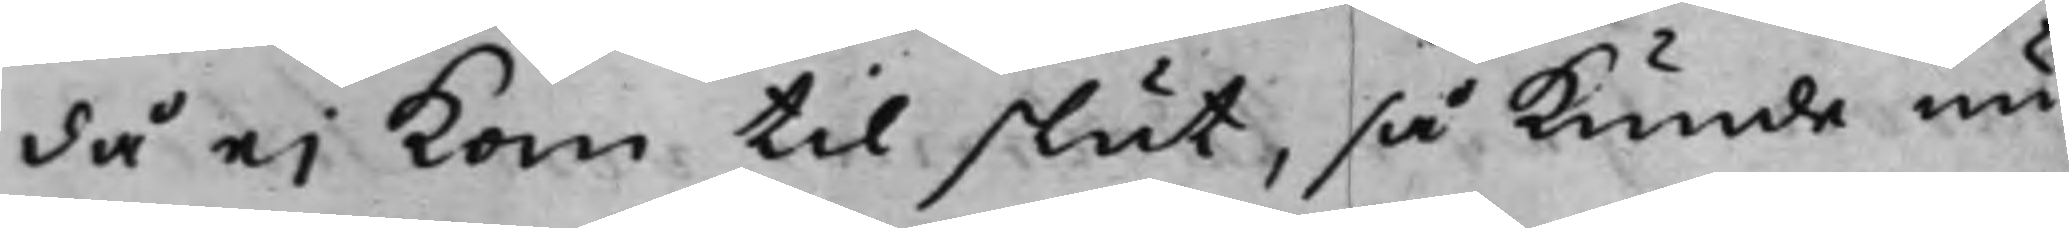då ei kom til slut, så kunde nu
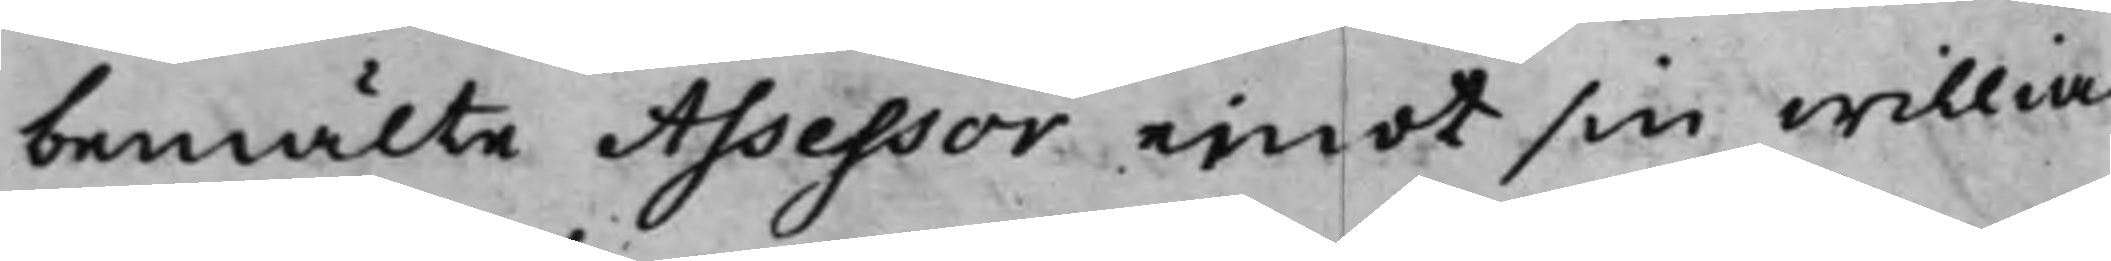bemälte Assessor emot sin willia
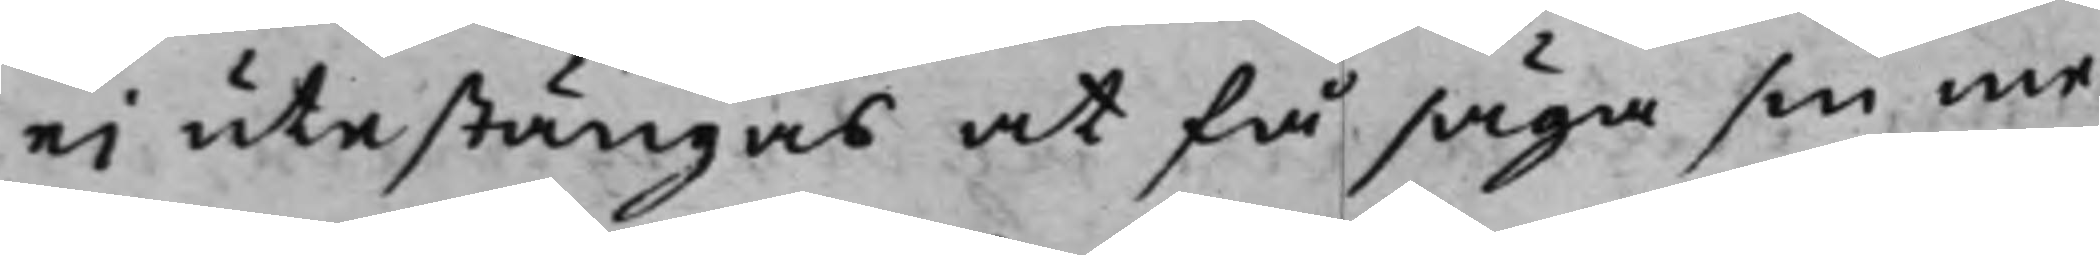ei utestängas at få säga sin me¬
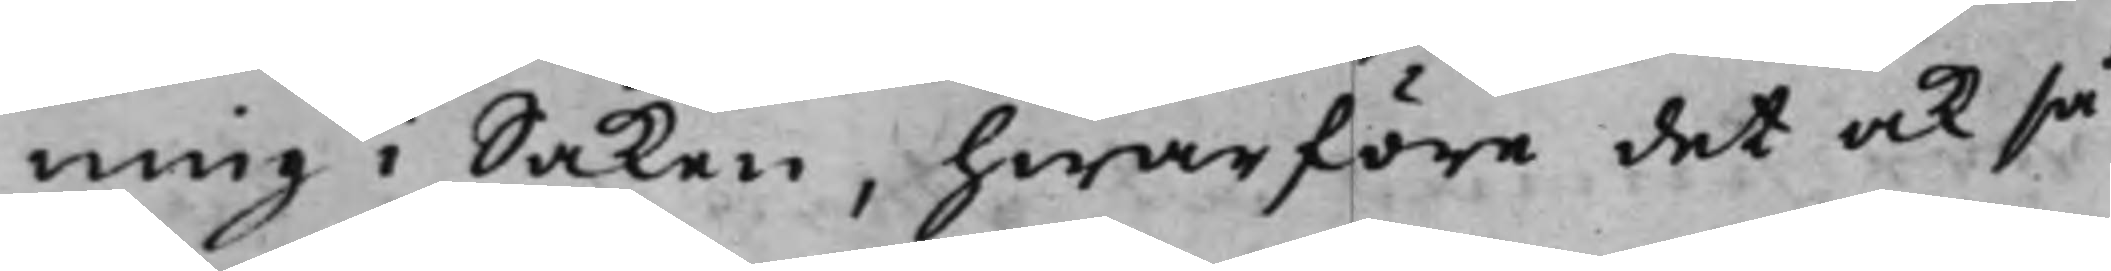ning i Saken, hwarföre det ock så
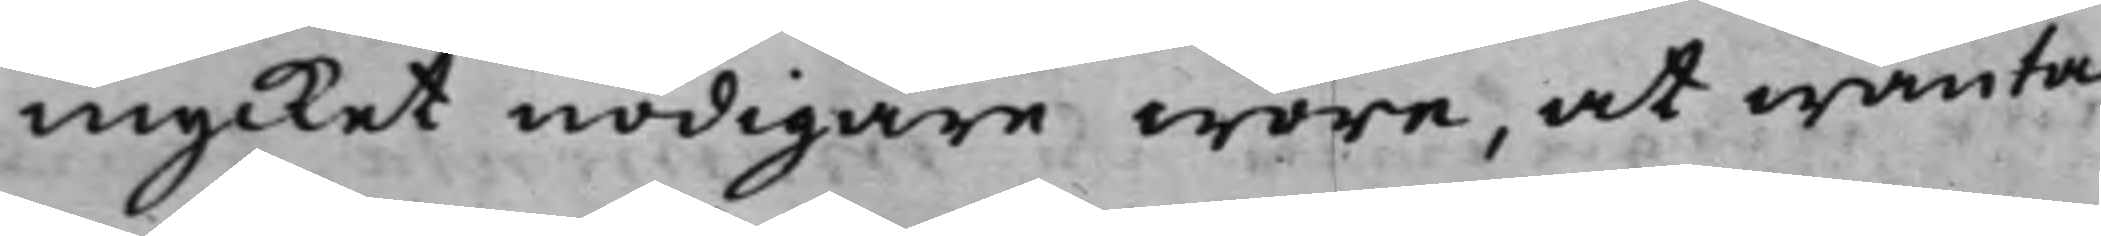mycket nödigare wore, at wänta
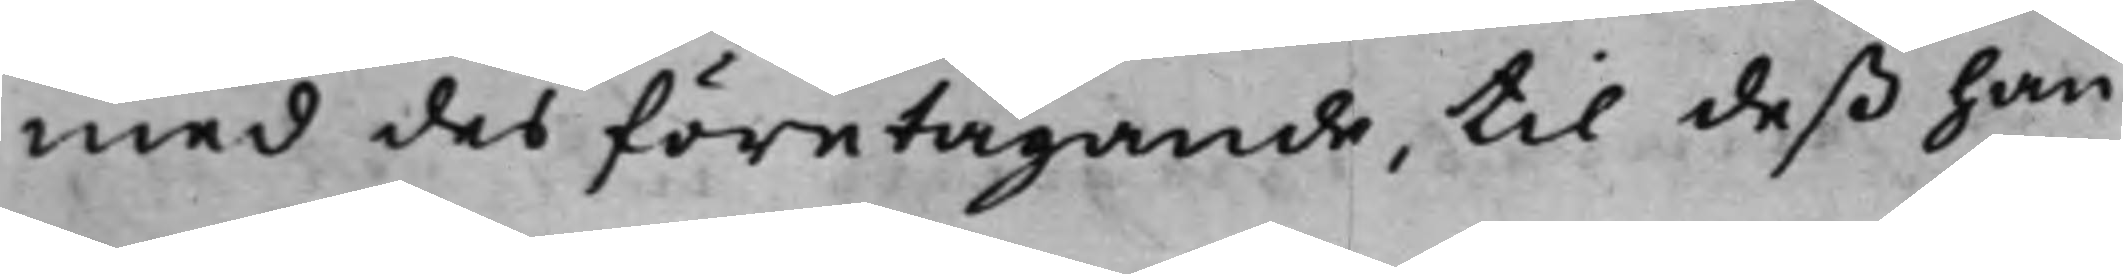med des företagande, till deß han
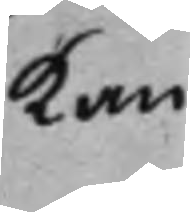kan
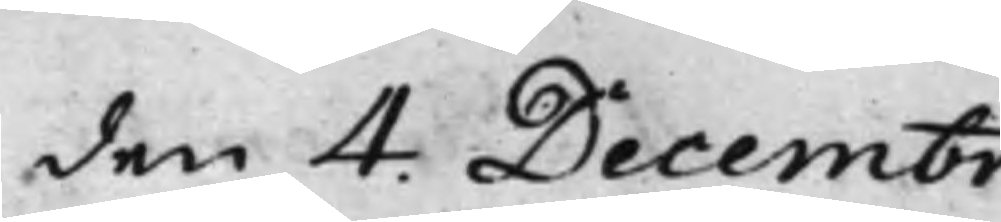den 4. Decembr:
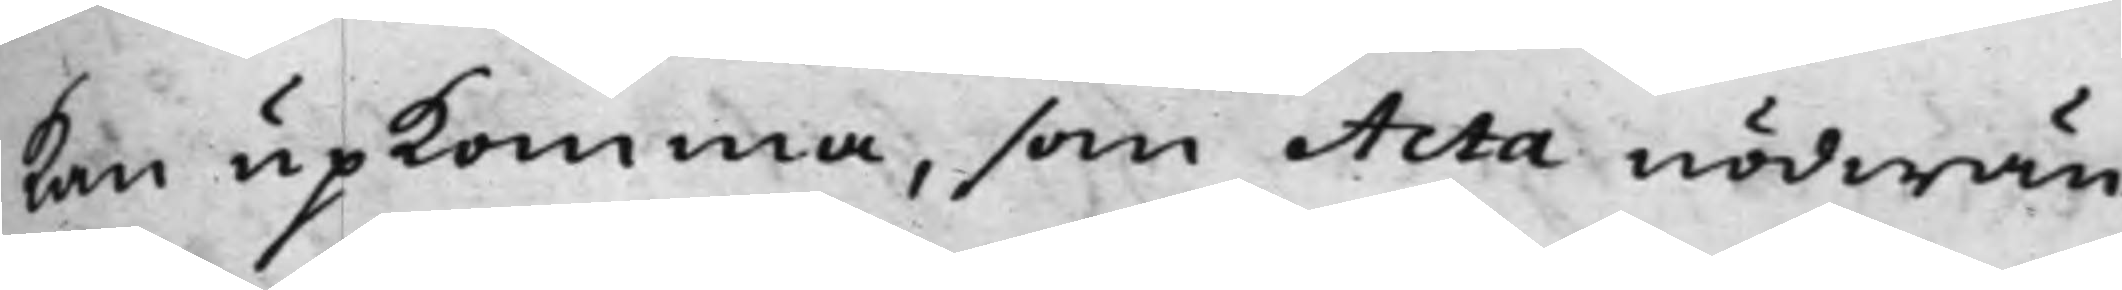kan upkomma, som Acta nödwän¬
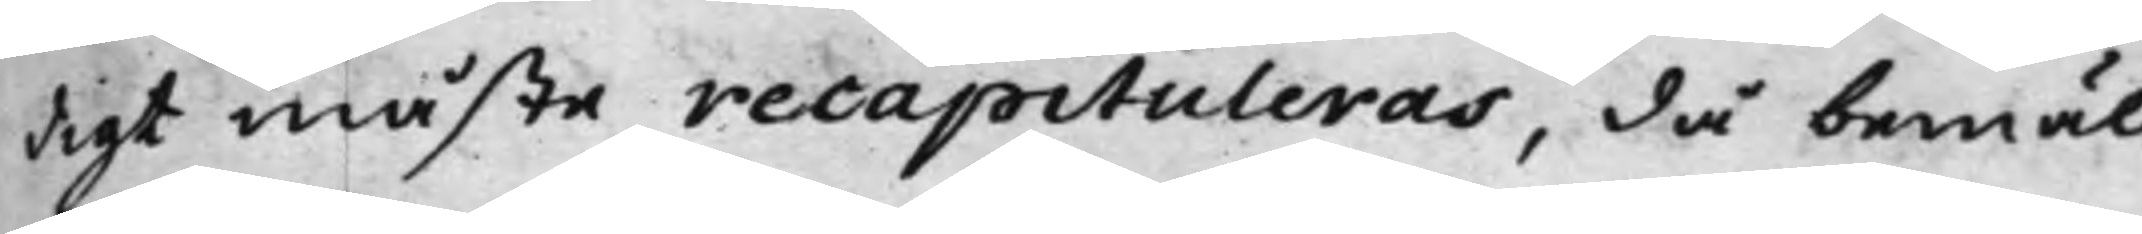digt måste recapituleras, då bemäl¬
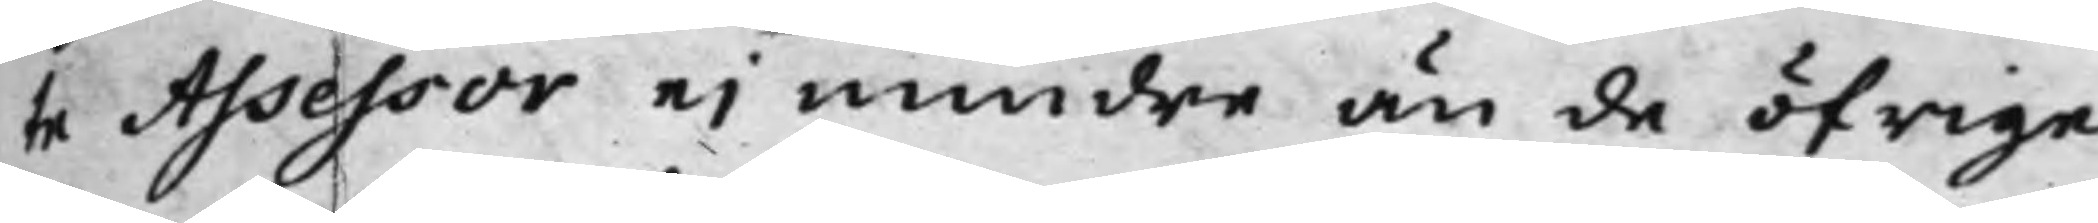te Assessor ei mindre än de öfrige
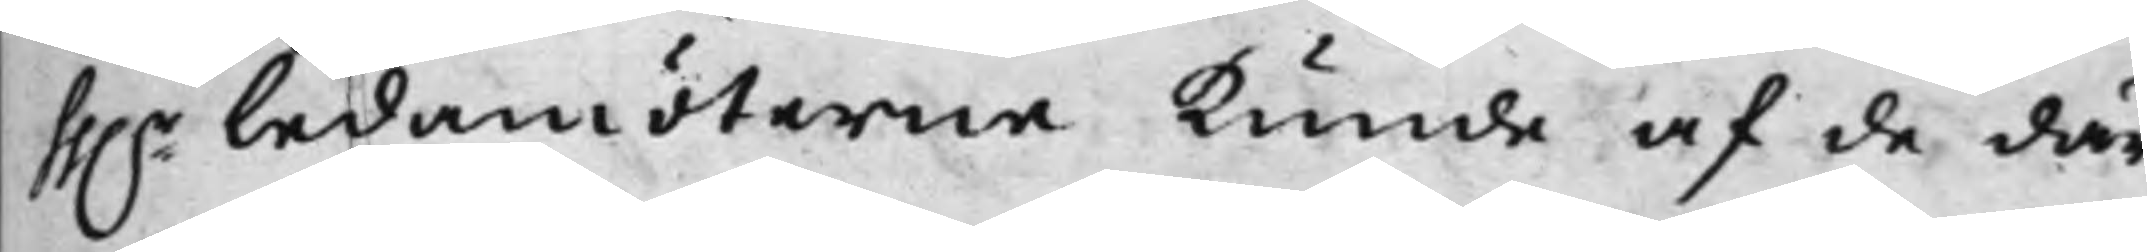hh.r Ledamöterne kunde af de där¬
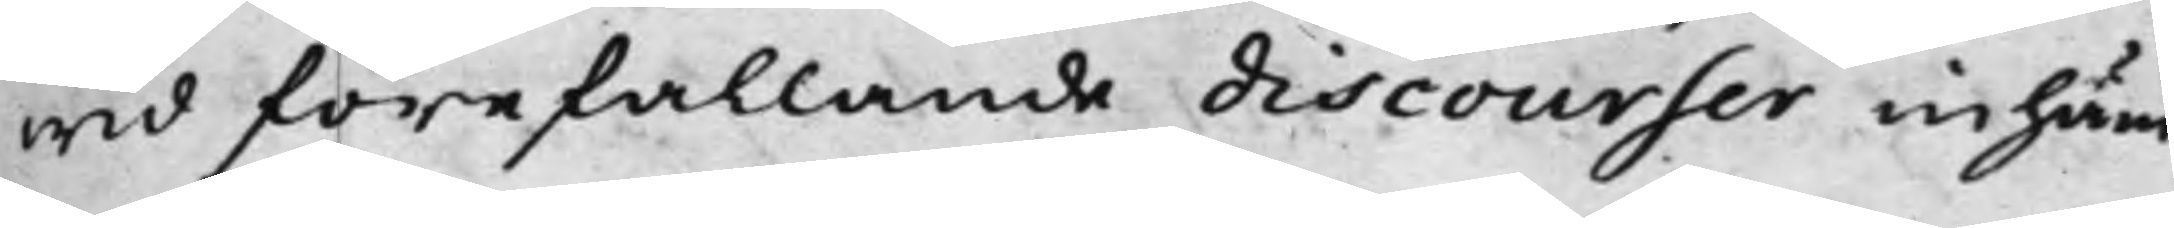wid förefallande discourser inhäm¬
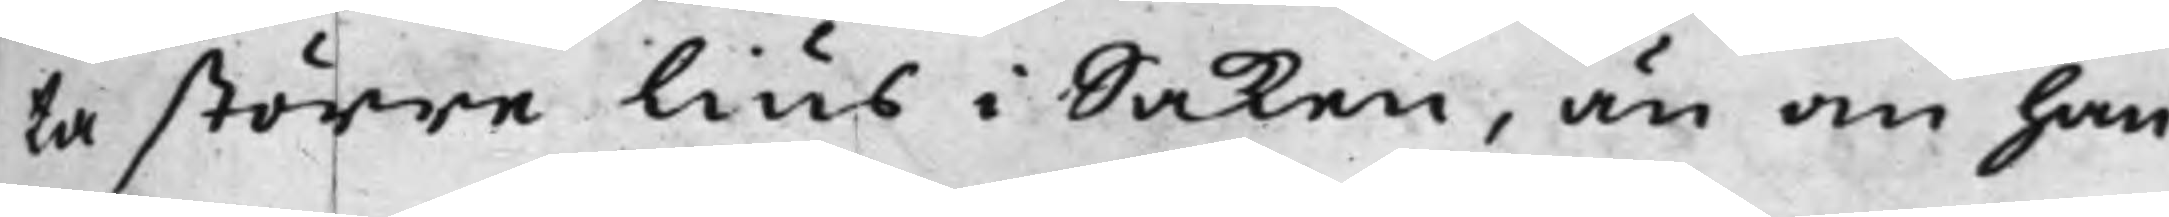ta större lius i Saken, än om han
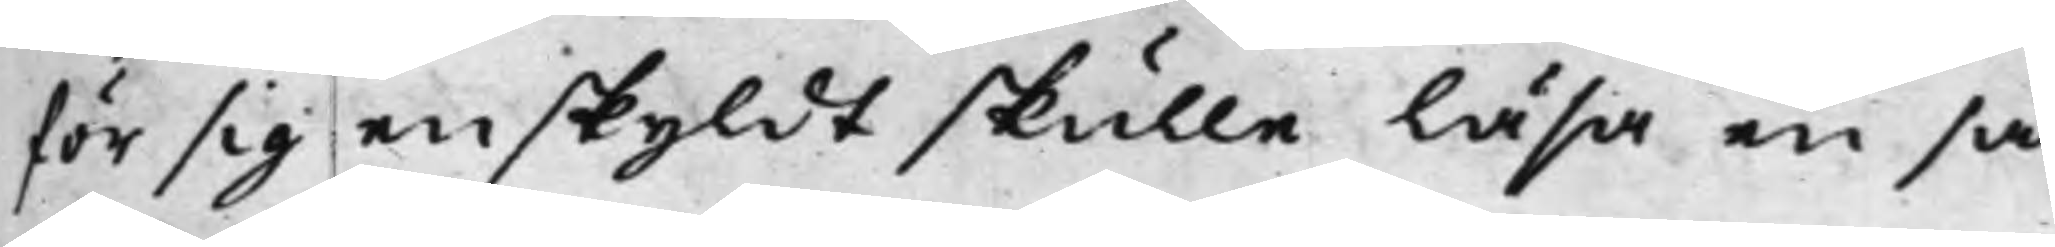för sig enskyldt skulle läsa en så
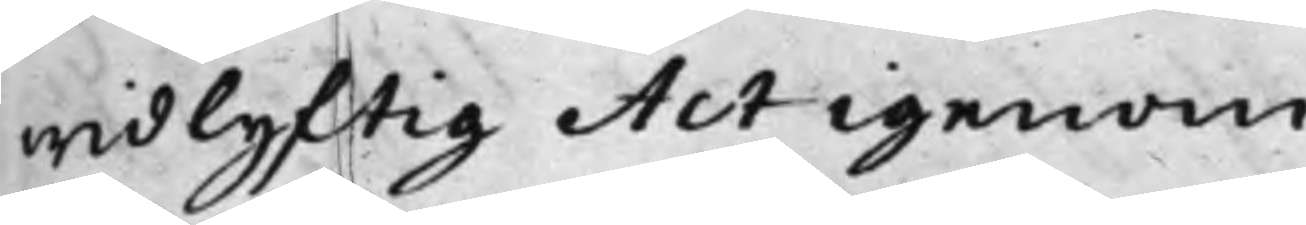widlyftig Act igenom.
